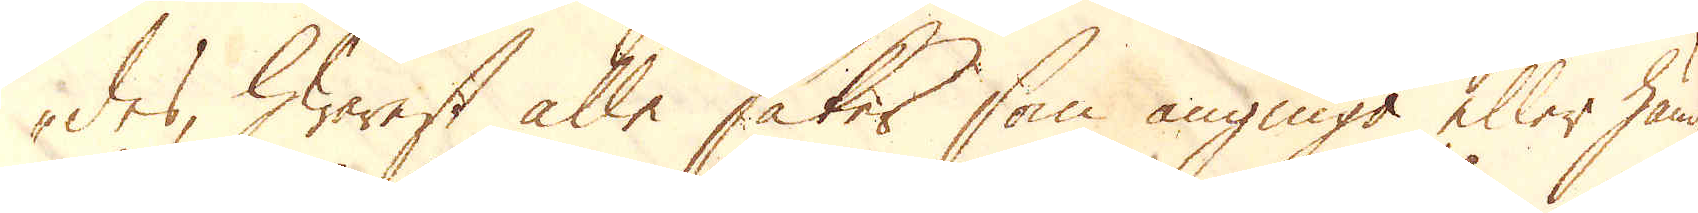des, hwarest alle saker som angingo eller hände
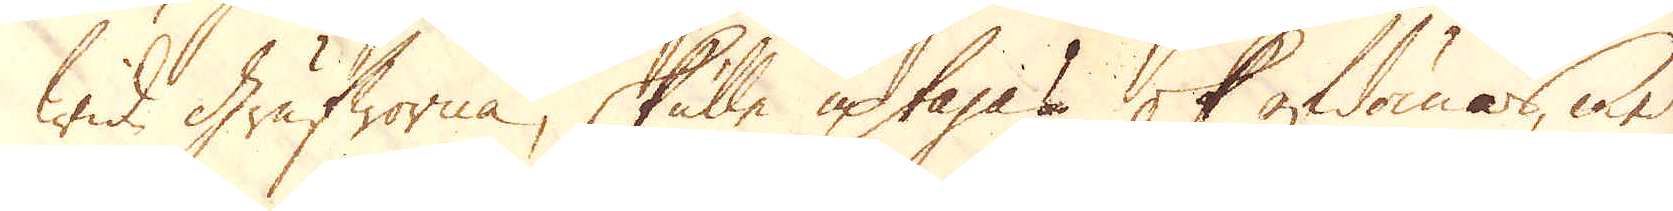wid Grufworna, skulle uptagas ok afdömas, med
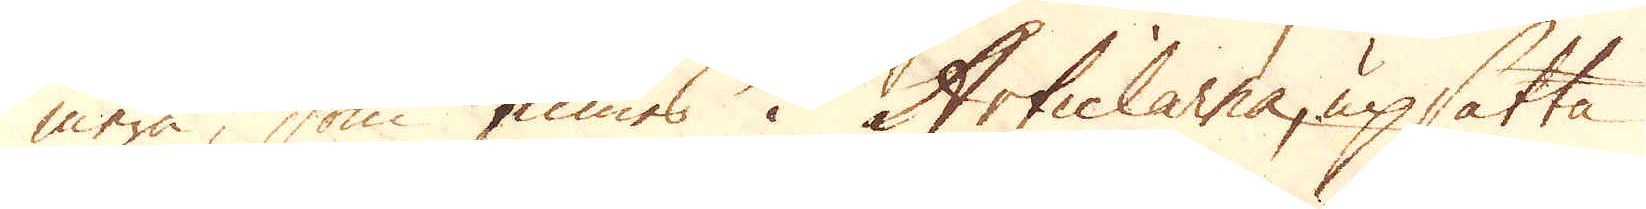mera, som finnes i Articlarna, upsatta
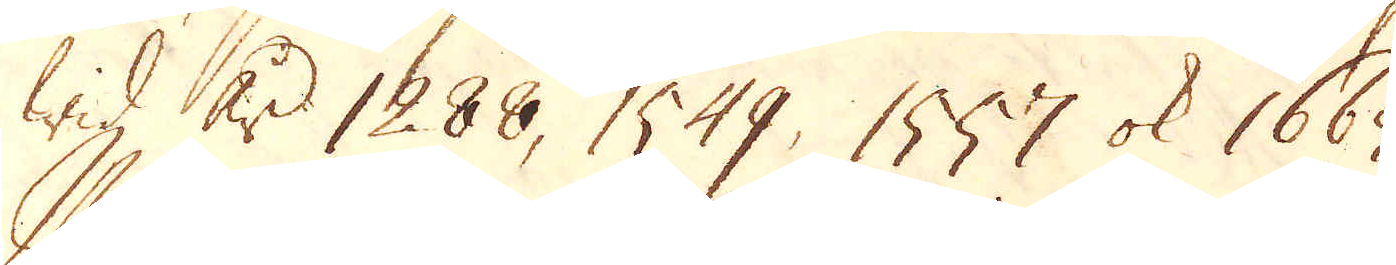Wid år 1288, 1549, 1557 ok 1665.
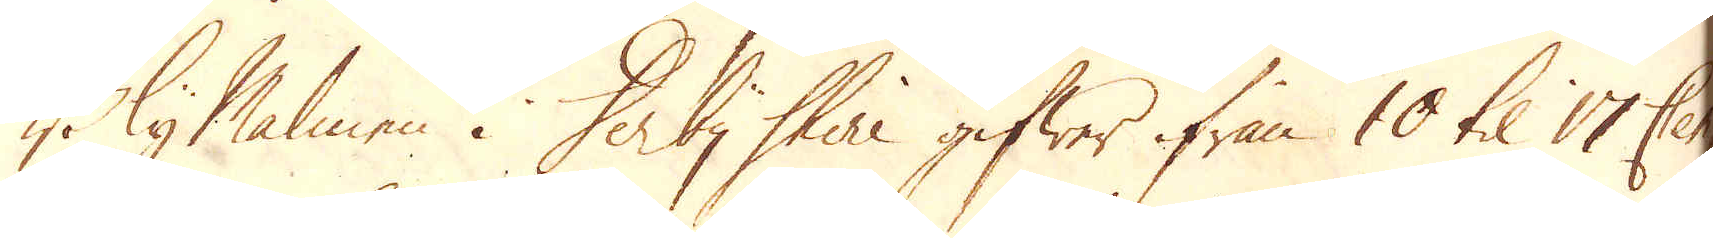Blymalmen i Derby Shire gifwer ifrån 10 til 17 Cent-
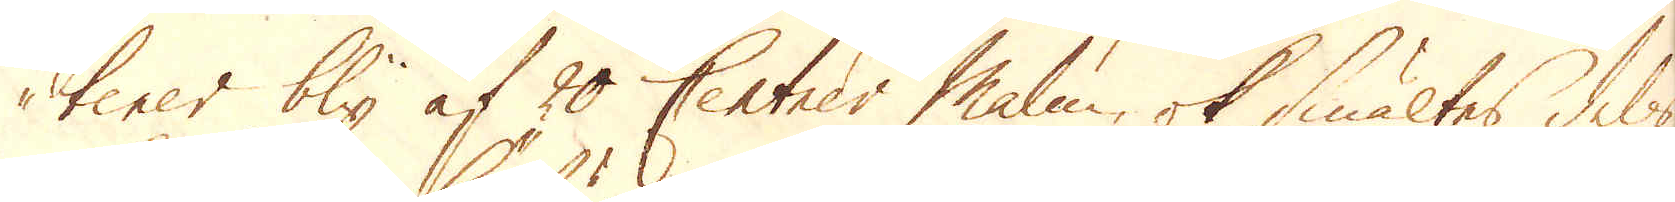tener bly af 20 Centner Malm, ok smältes dels
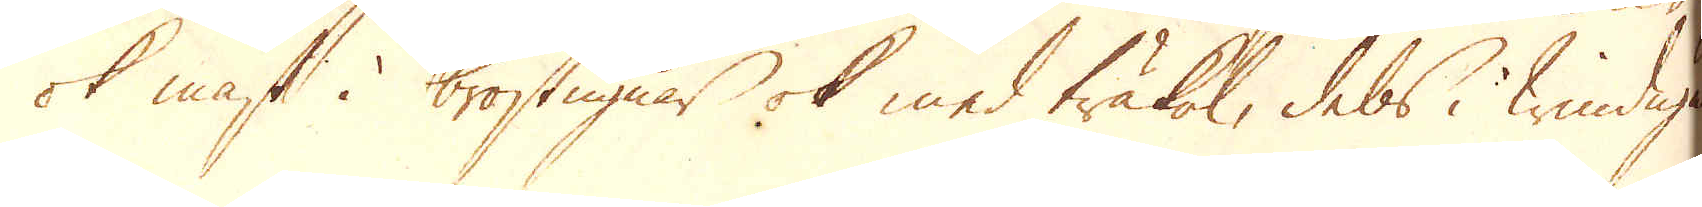ok mäst i bröstugnar ok med träkol, dels i windugnar
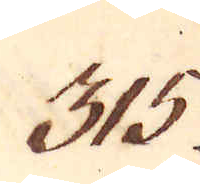315.
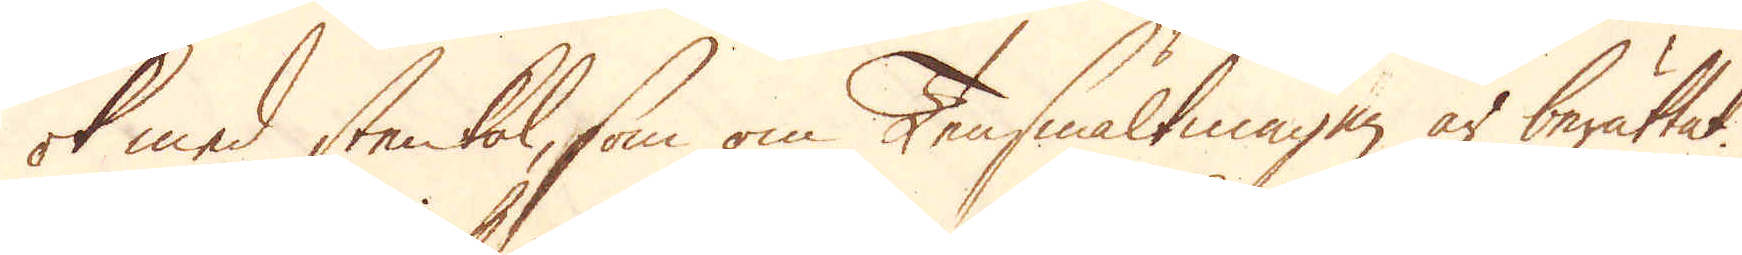ok med stenkol, som om Tensmältningen är berättat.
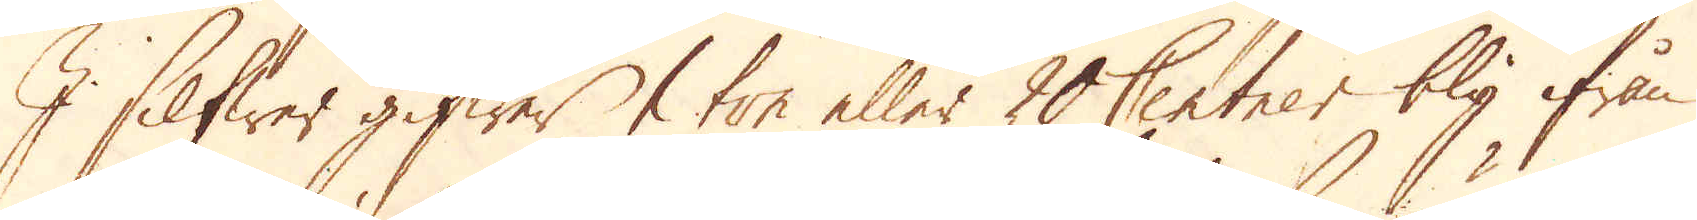I Silfwer gifwer 1 ton eller 20 Centner bly ifrån
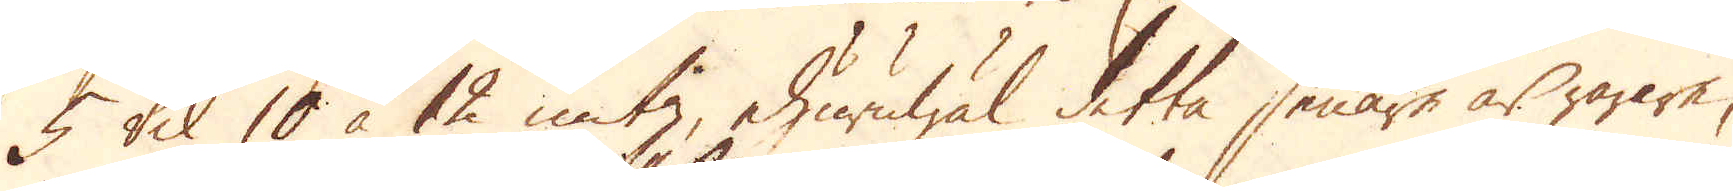5 til 10 à 12 untz, ehuruwäl detta senare är rarare
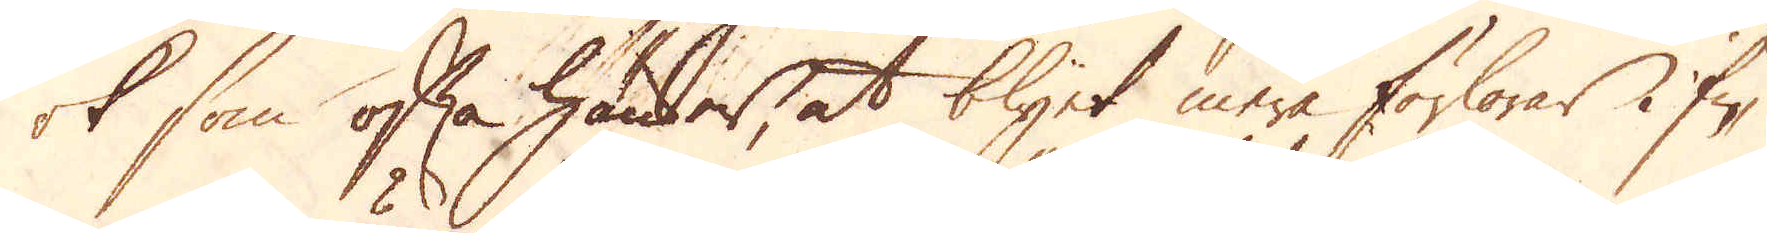ok som ofta händer, at blyet mera förlorar i fi-
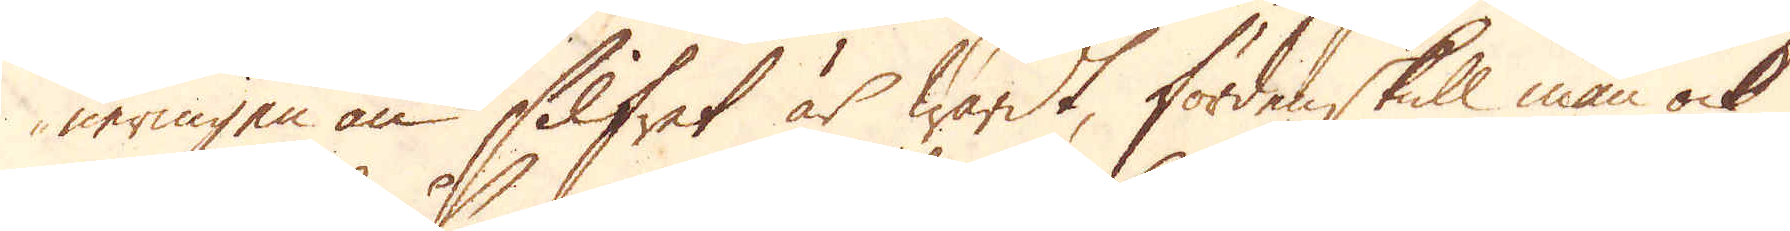neringen än Silfret är wärdt, fördenskull man ock
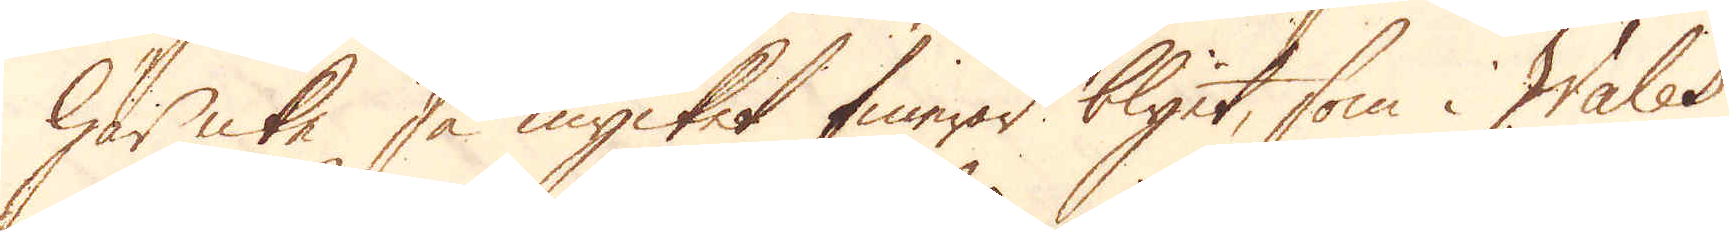här icke så mycket finerar blyet, som i Wales
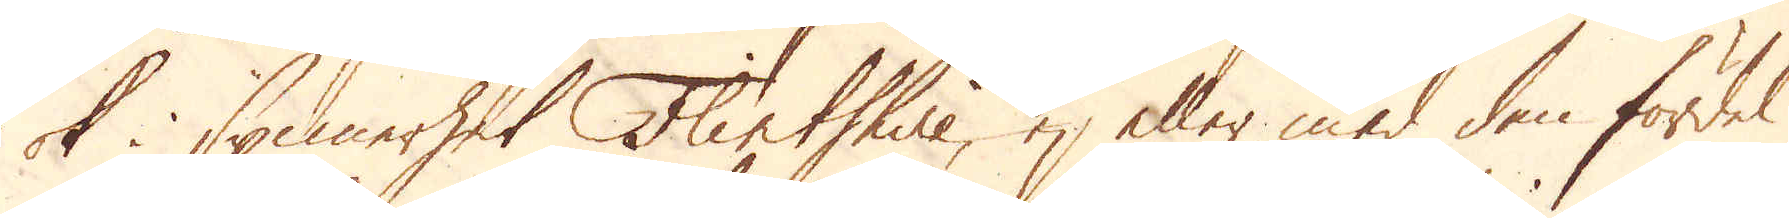ok i synnerhet Flintshire, ej eller med den fördel
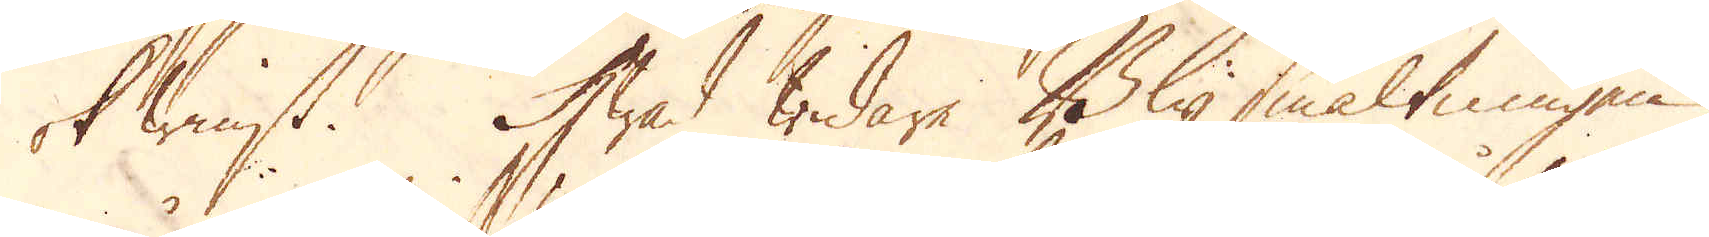ok winst. Hwad widare Blysmältningen
